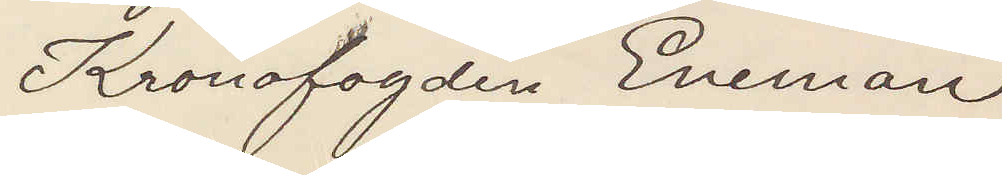Kronofogden Eneman
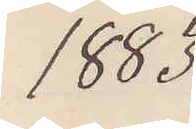1883
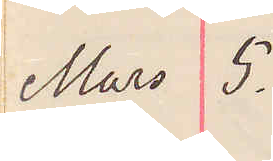5 Mars.
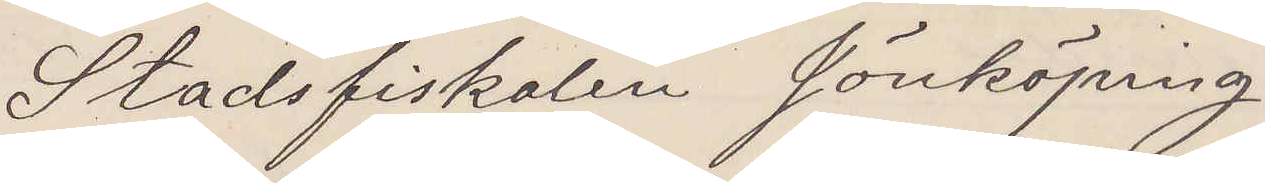Stadsfiskalen Jönköping
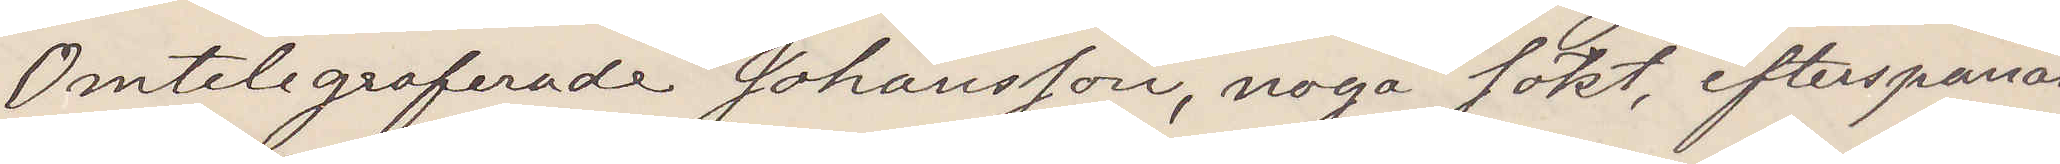Omtelegraferade Johansson noga sökt efterspanas
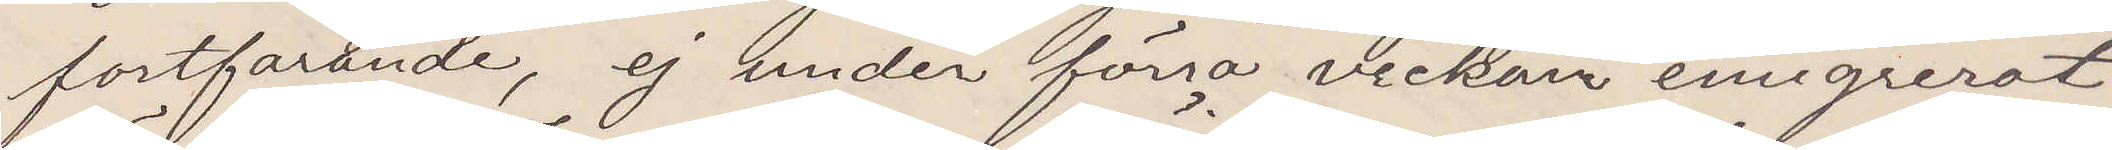fortfarande, ej under förra veckan emigrerat
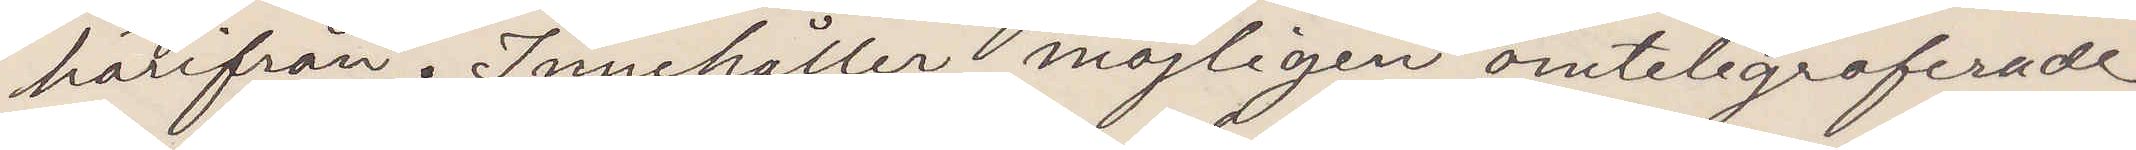härifrån. Innehåller möjligen omtelegraferade
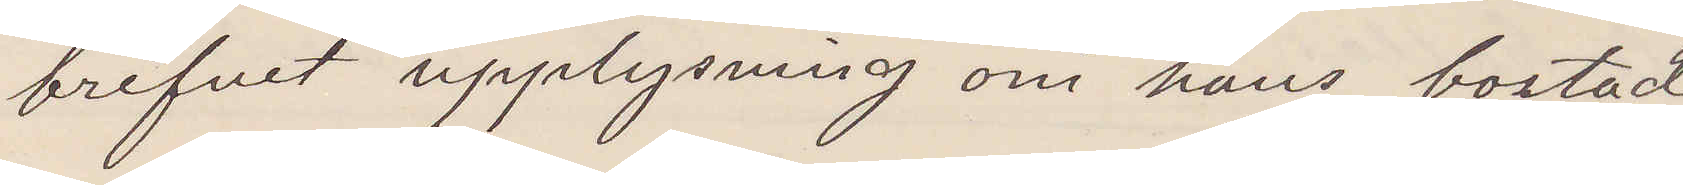brefvet upplysning om hans bostad
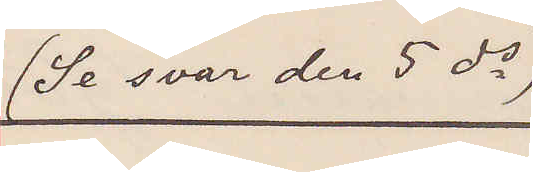(Se svar den 5 ds)
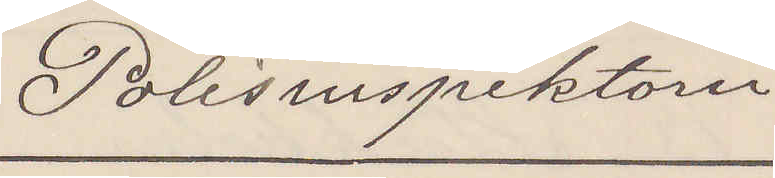Polisinspektorn
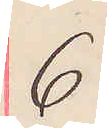6
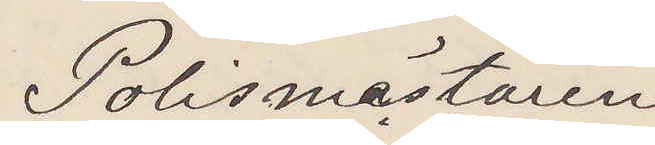Polismästaren
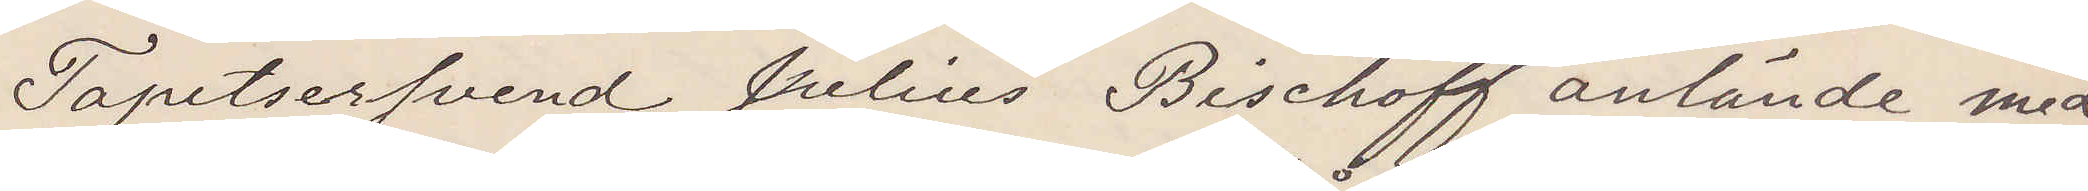Tapetserarsvend Julius Bischoff anlände med
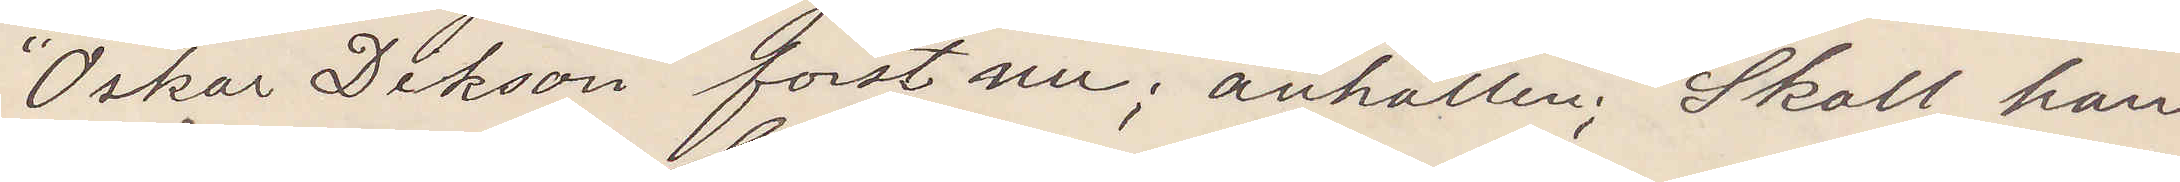"Oskar Dickson" först nu; anhållen; Skall han
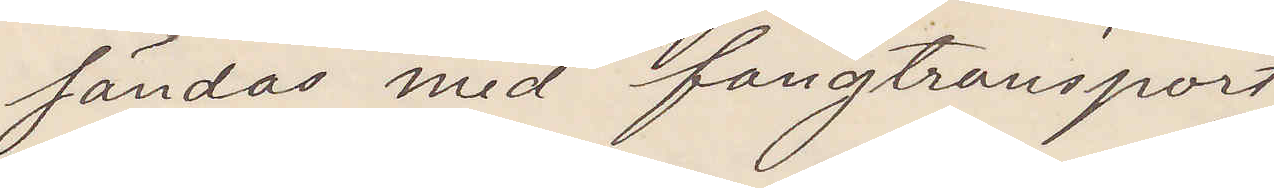sändas med fångtransport
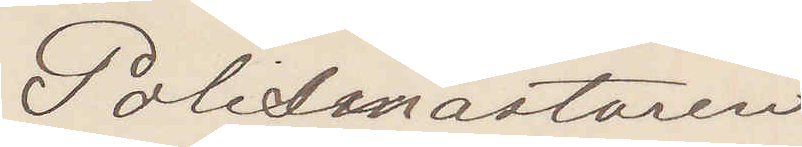Polismästaren
